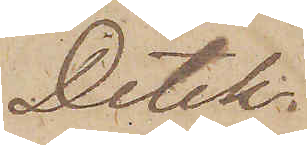Detek¬
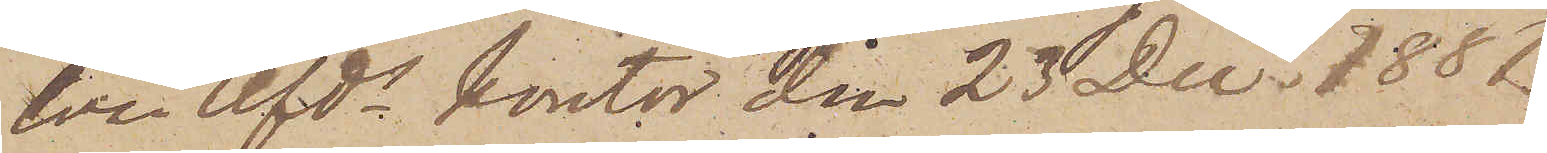tiva Afds kontor den 23 Dec. 1881.
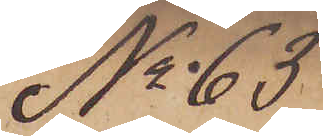No 63
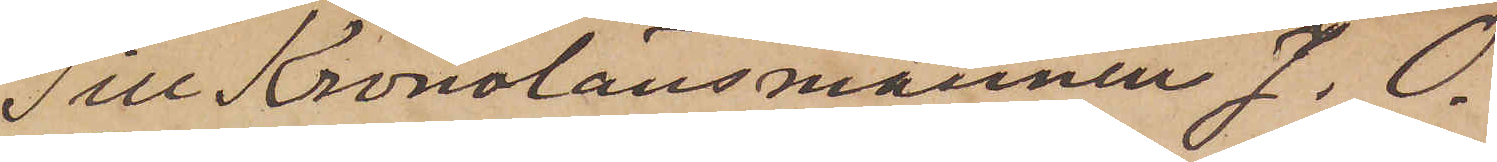Till Kronolänsmannen J. O.
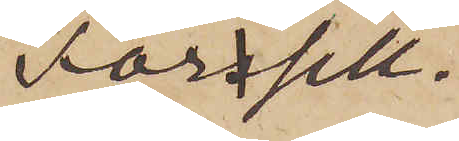Forsell.
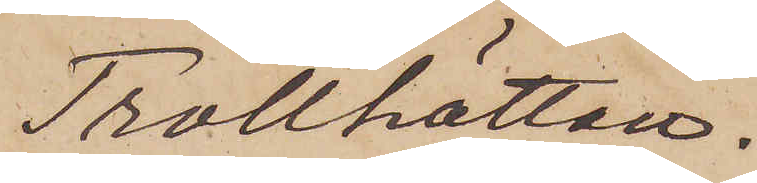Trollhättan.
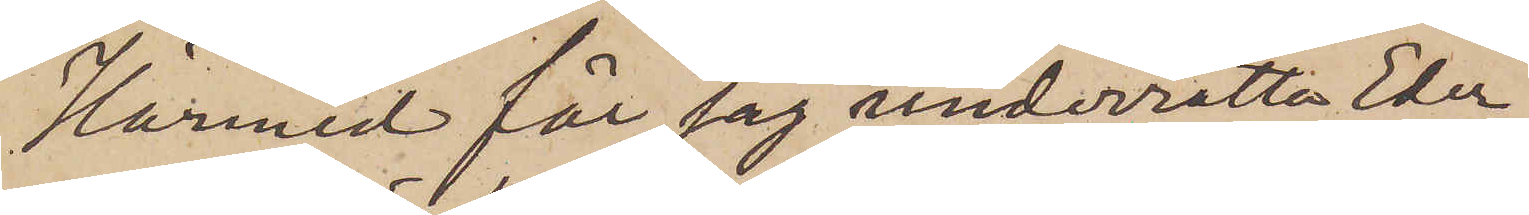Härmed får jag underrätta Eder
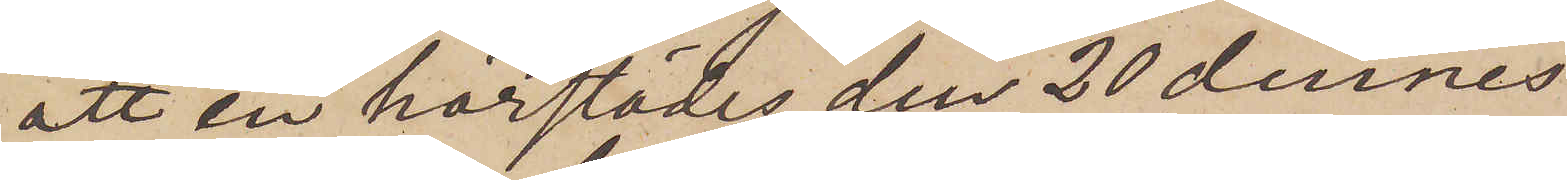att en härstädes den 20 dennes
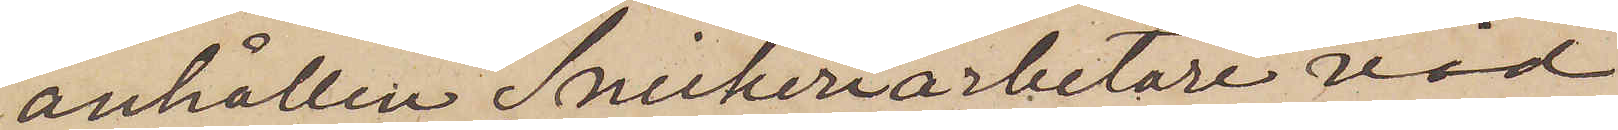anhållen Snickeriarbetare vid
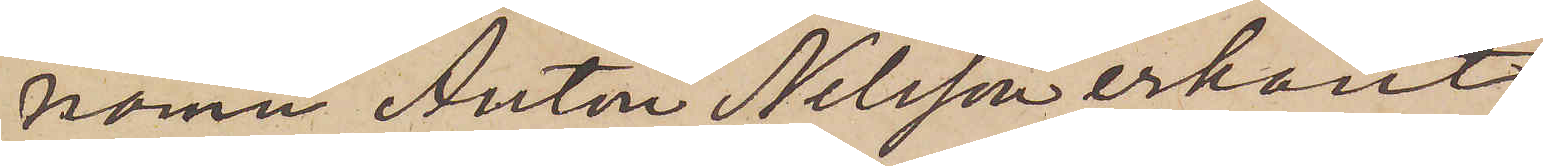namn Anton Nilsson erkänt
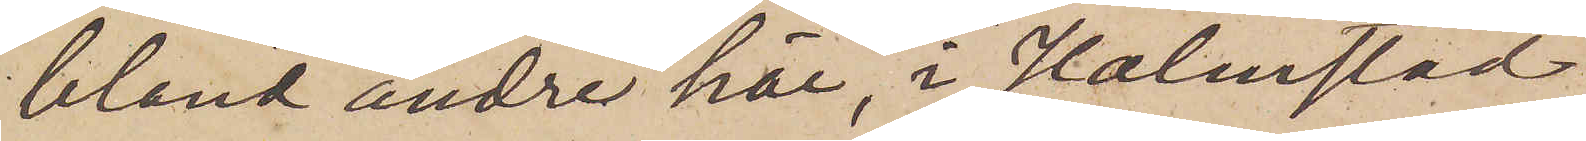bland andre här, i Halmstad
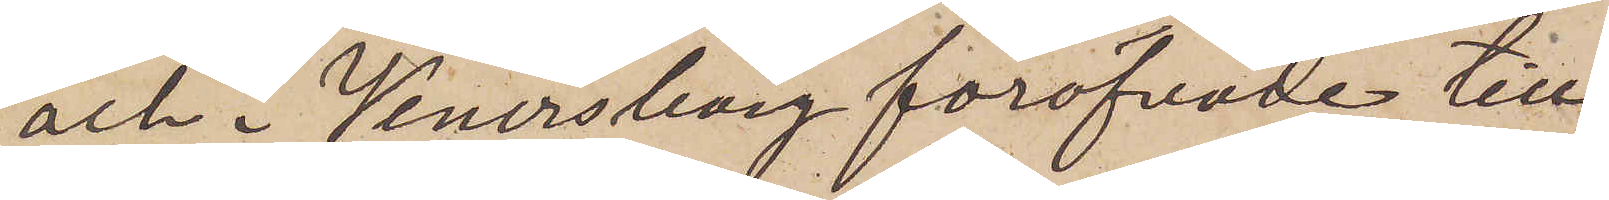och i Wenersborg föröfvade till¬
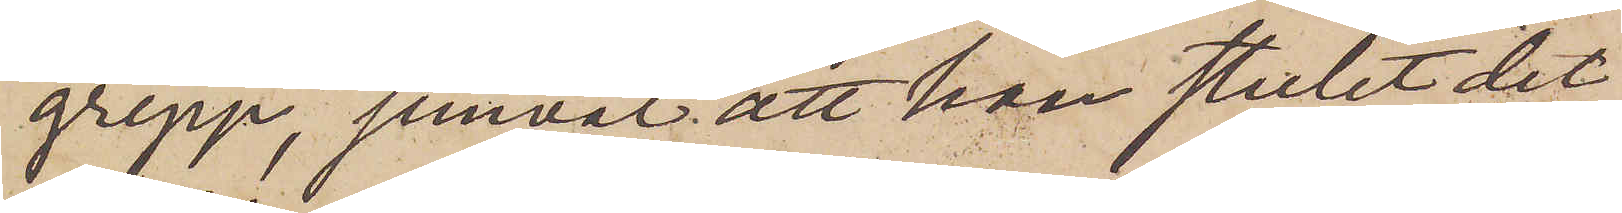grepp, jemväl att han stulit det
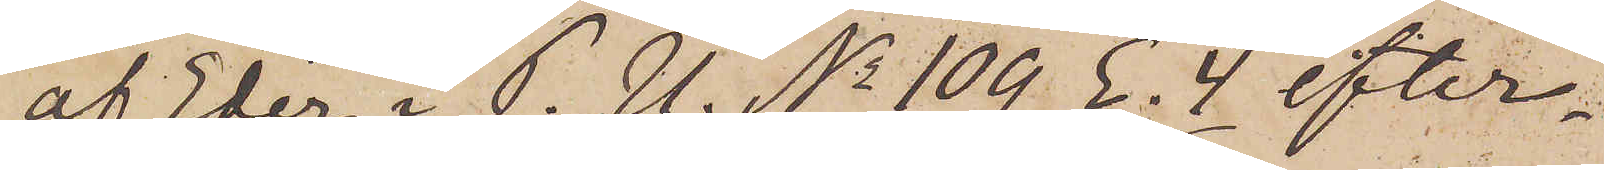af Eder i P. U. No 109 E. 4 efter¬
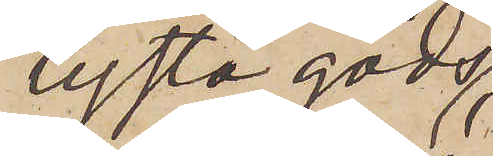lysta gods
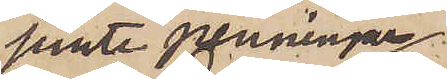jemte penningar,
